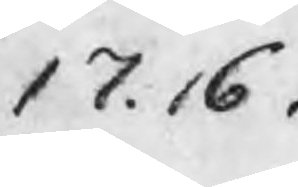17.16
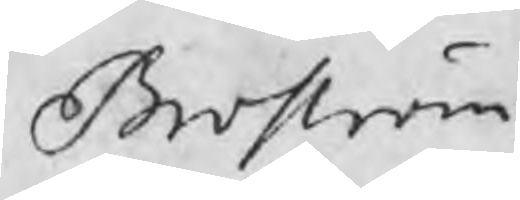Broström
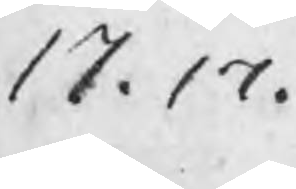17.17
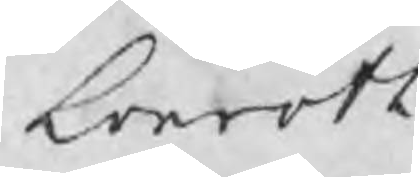Lönroth
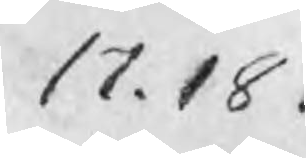17.18
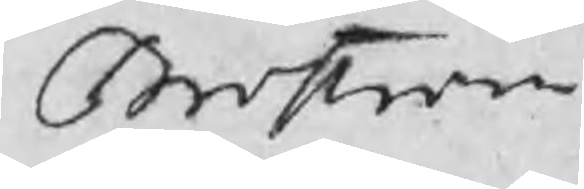Broström
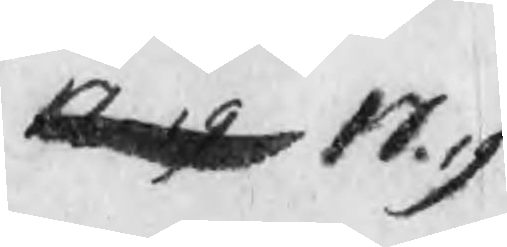17.19 17.19
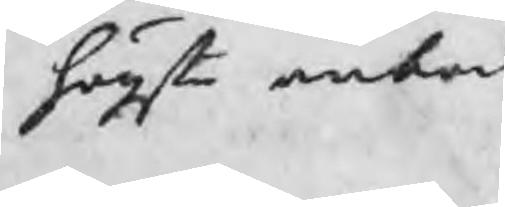högsta anbod
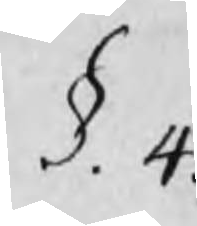§. 4
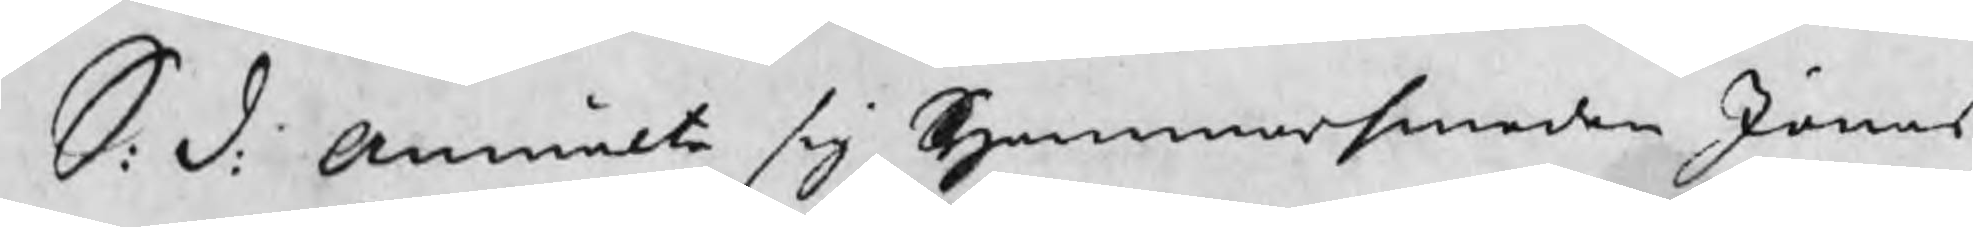S: d: Anmälte sig Hammarsmeden Jonas
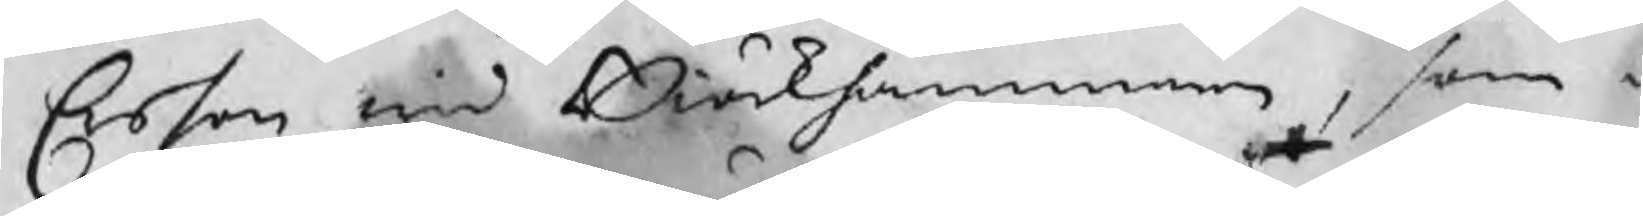Erson wid Biörkhammarn, som i
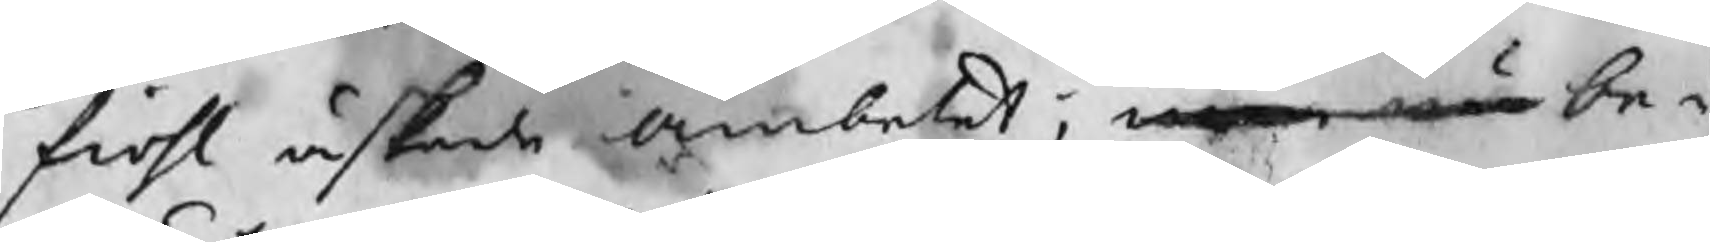fiohl äskade Ämbetet; men nu be¬
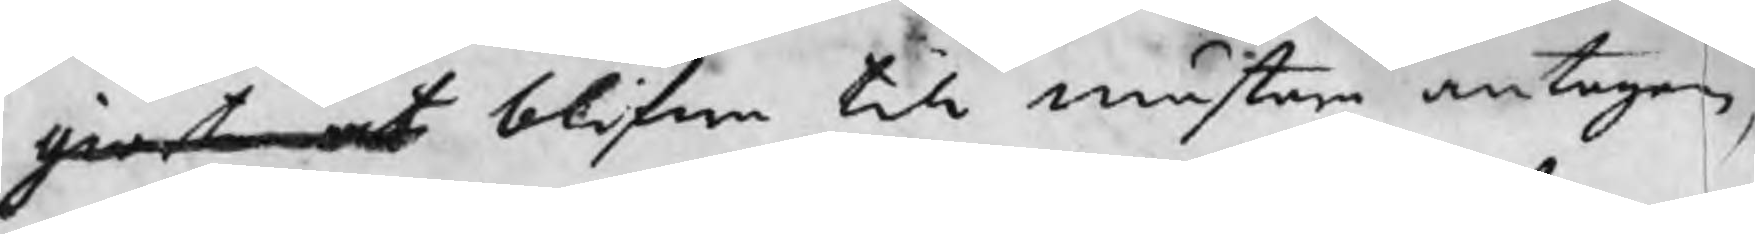giärt at blifwa till mästare antagen,
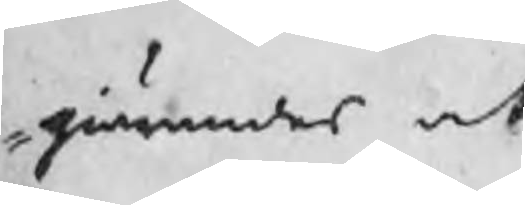giärandes at
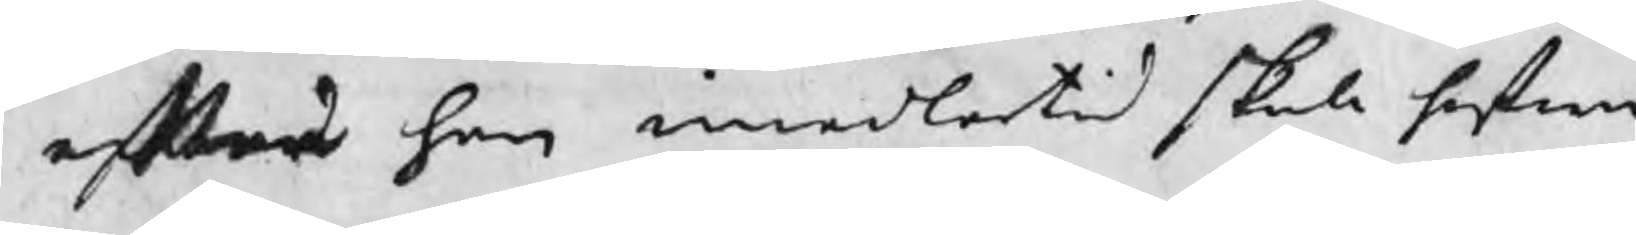efter han imedlertid skola hafwa
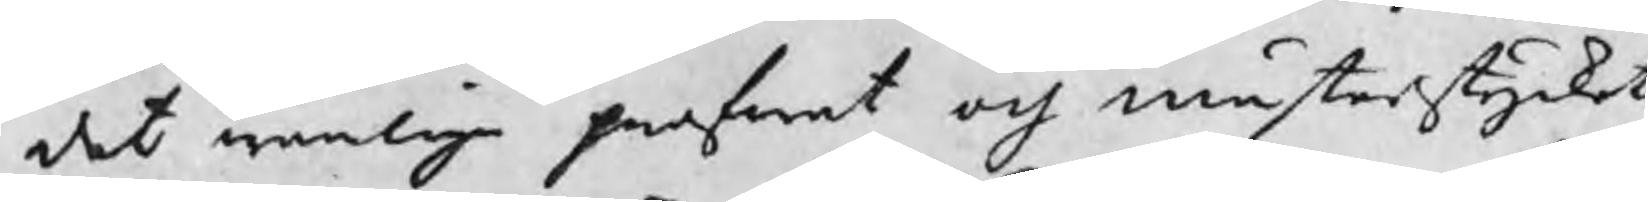det wanliga profwet och mästerstycket
